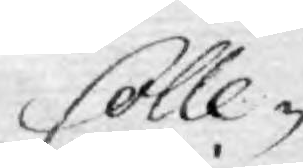Colle-
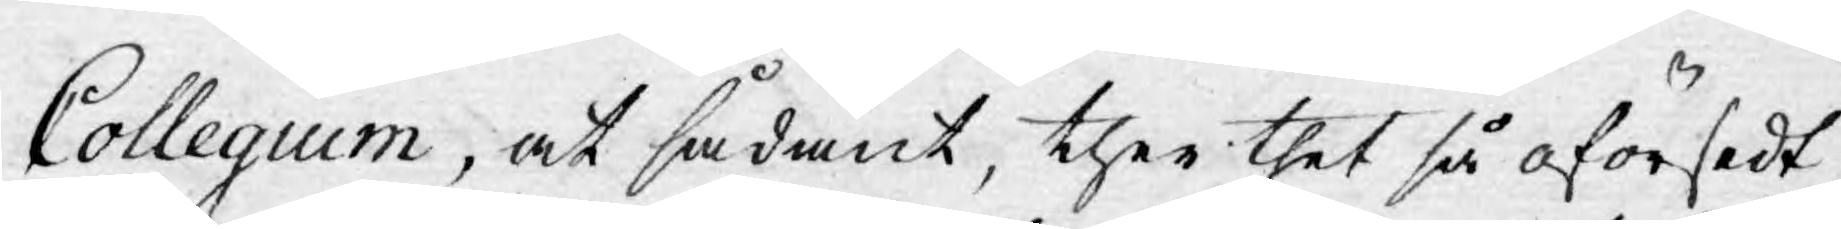Collegium, at sådant, ther thet så oförsedt
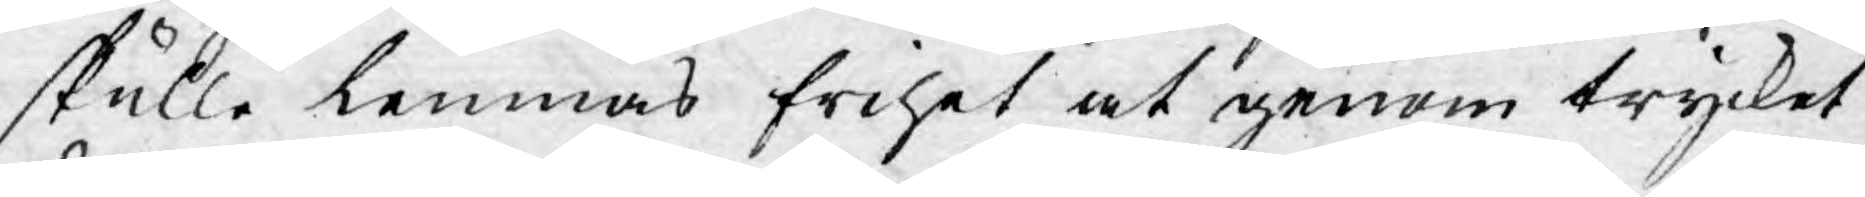skulle lemnas frihet at genom trycket
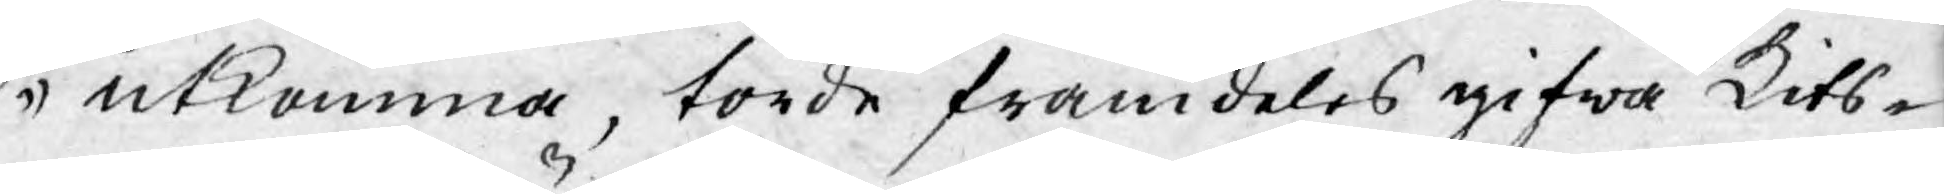utkomma, torde framdeles gifwa Kits-
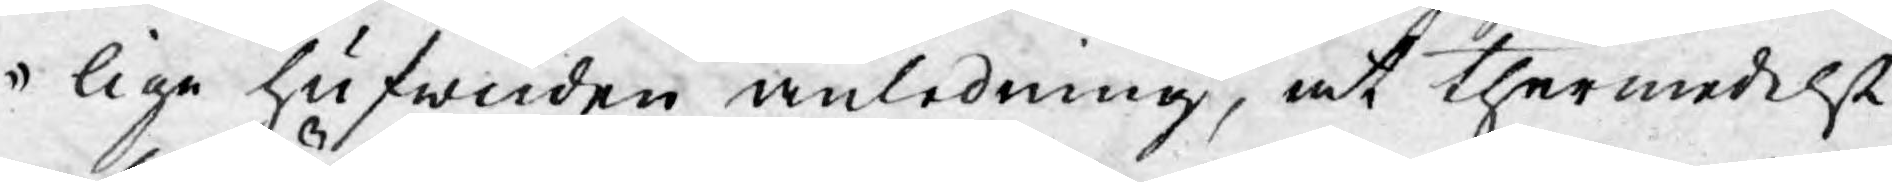lige hufwuden anledning, at thermedelst
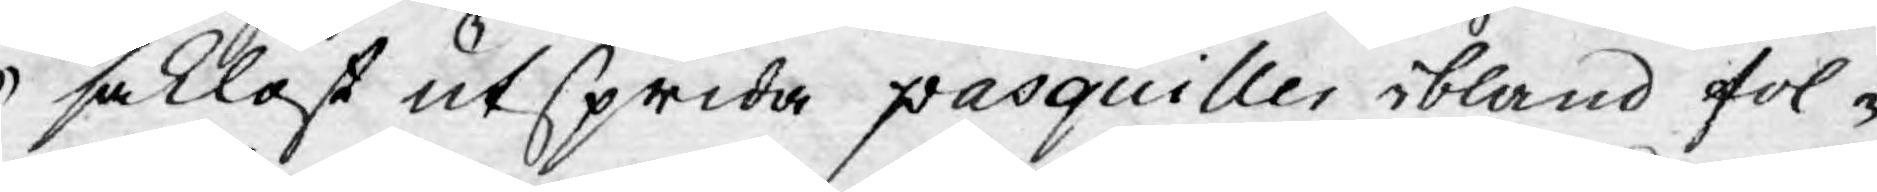saklöst utsprida pasquiller ibland fol¬
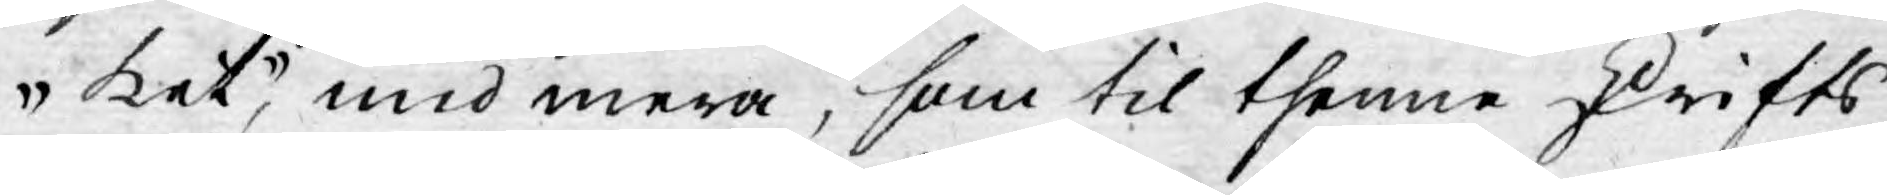ket, med mera, som til thenne skrifts
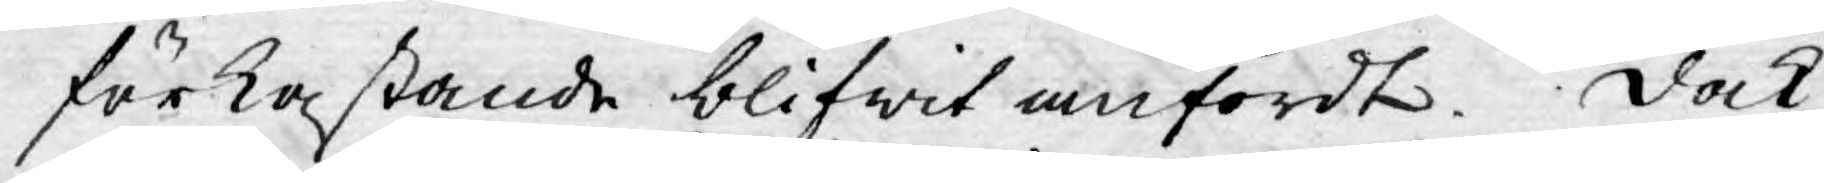förkastande blifwit anfördt. Dock
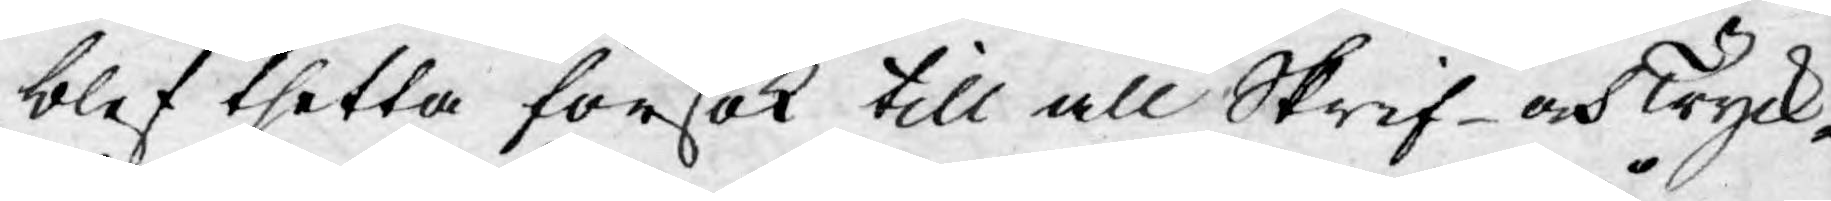blef thetta försök till all Skrif- och Tryck-
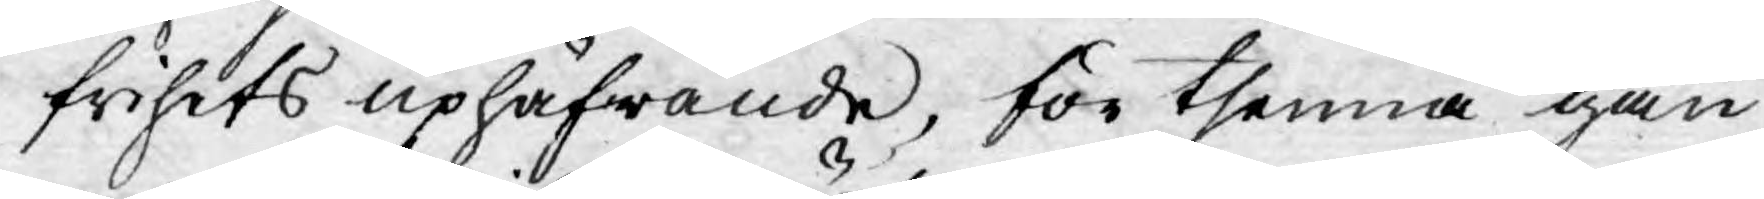frihets uphäfwande, för thenna gån¬
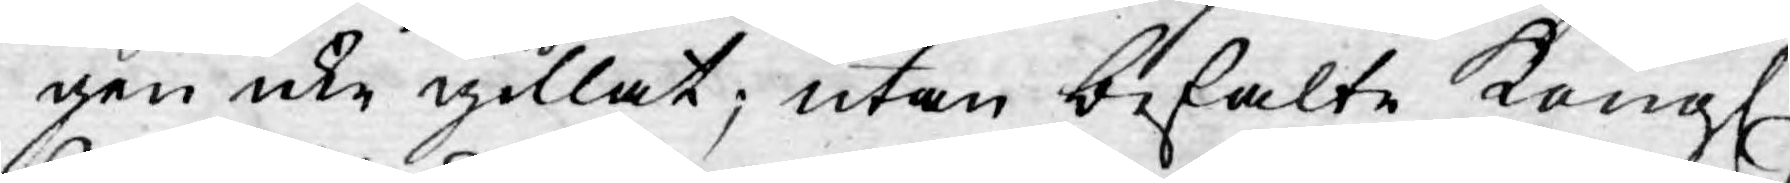gen icke gillat; utan befalte Kongl.
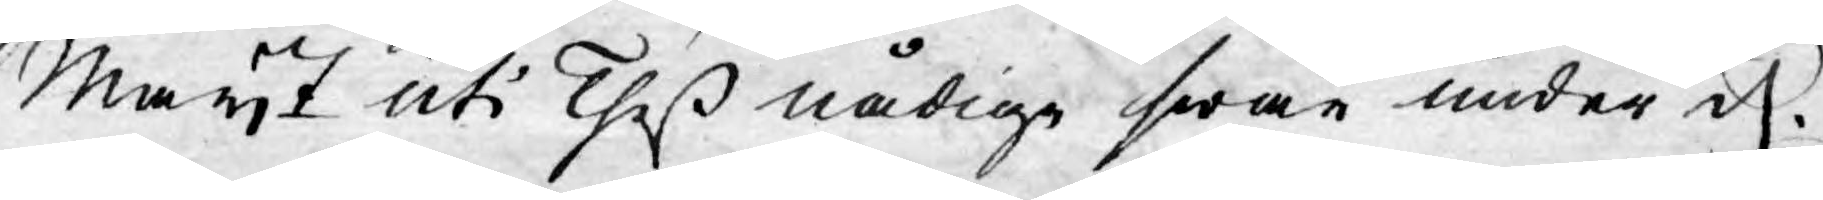Mayt uti Theß nådige swar under d.
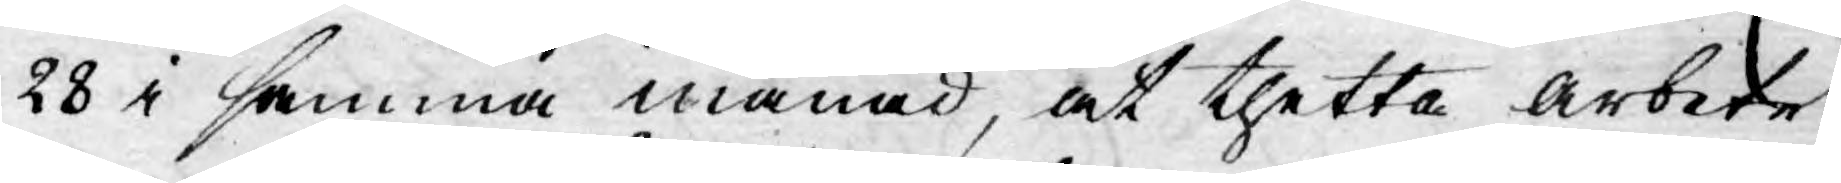28 i samma månad, at thetta arbete
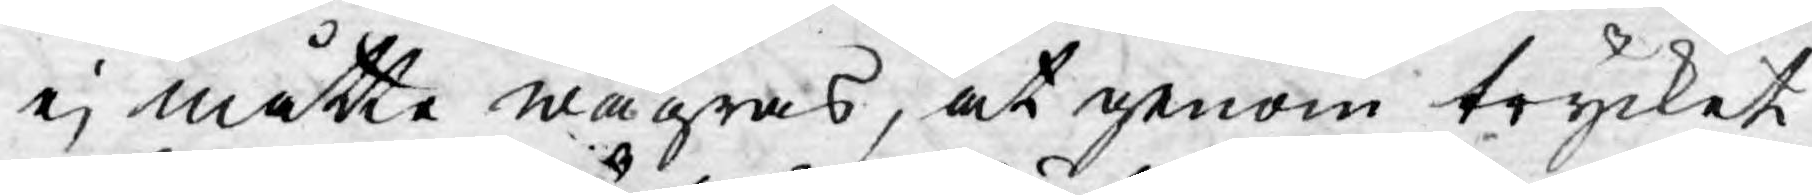ej måtte wägras, at genom trycket
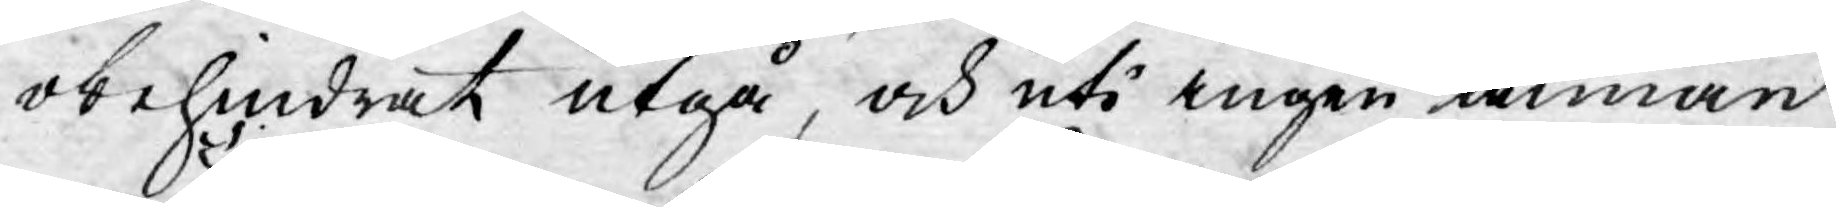obehindrat utgå, och uti ingen annan
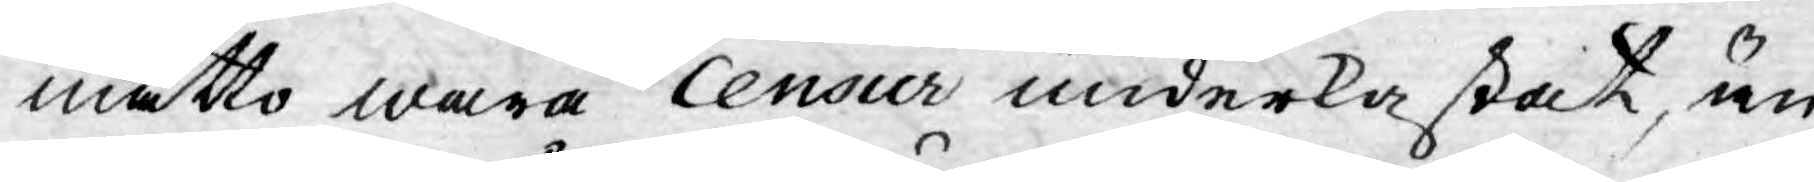måtto wara Censur underkastat, än
